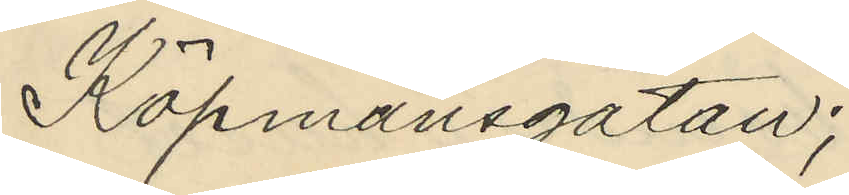Köpmansgatan;
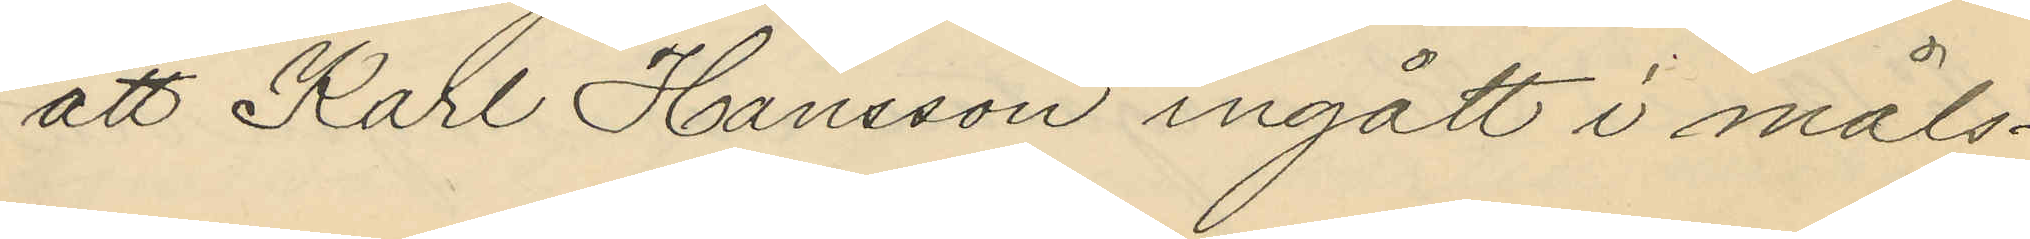att Karl Hansson ingått i måls¬
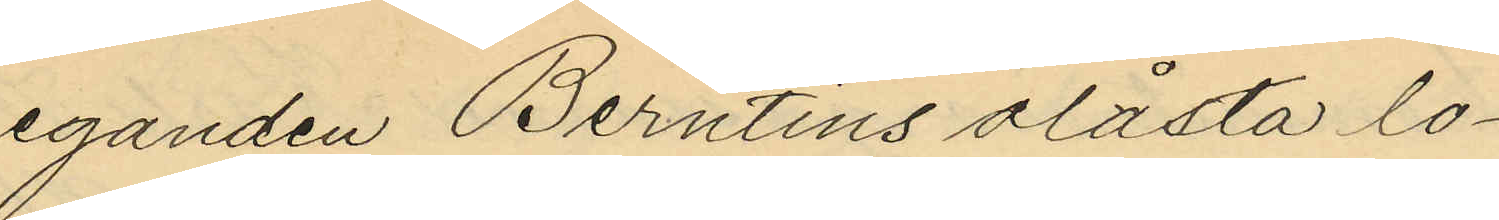eganden Berntins olåsta lo¬
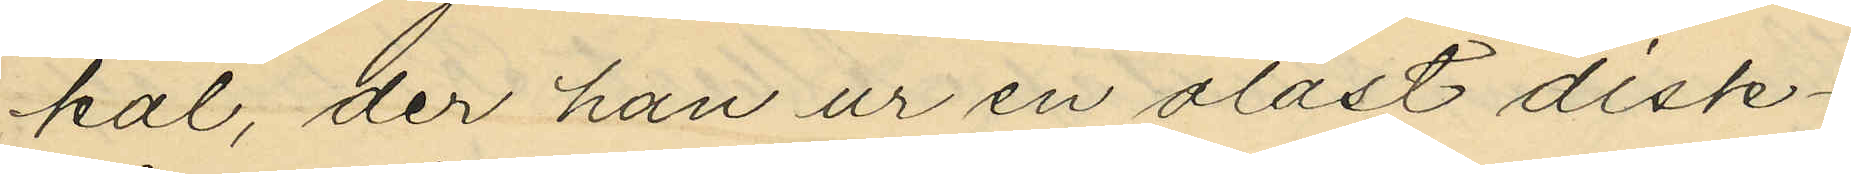kal, der han ur en olåst disk¬
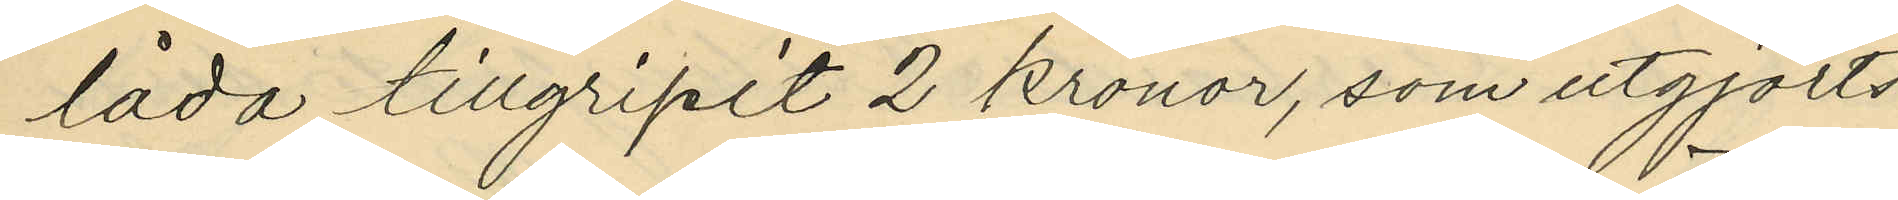låda tillgripit 2 kronor, som utgjorts
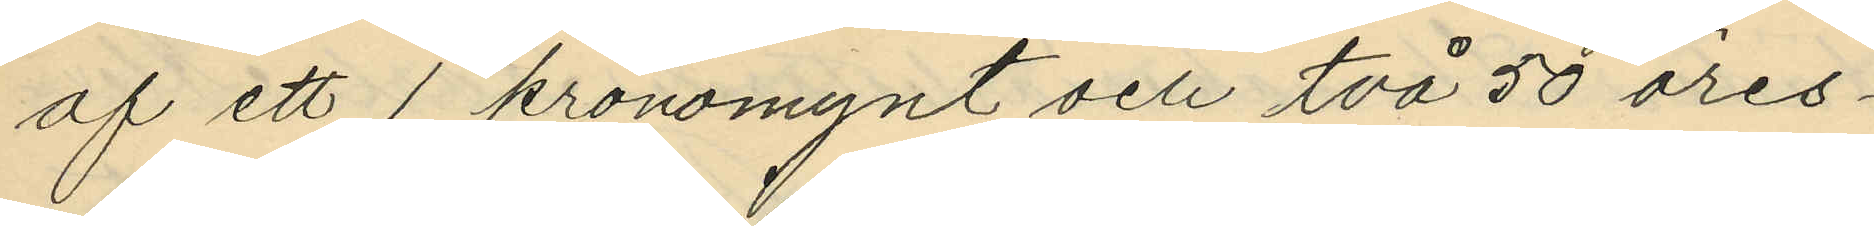af ett 1 kronomynt och två 50 öres¬
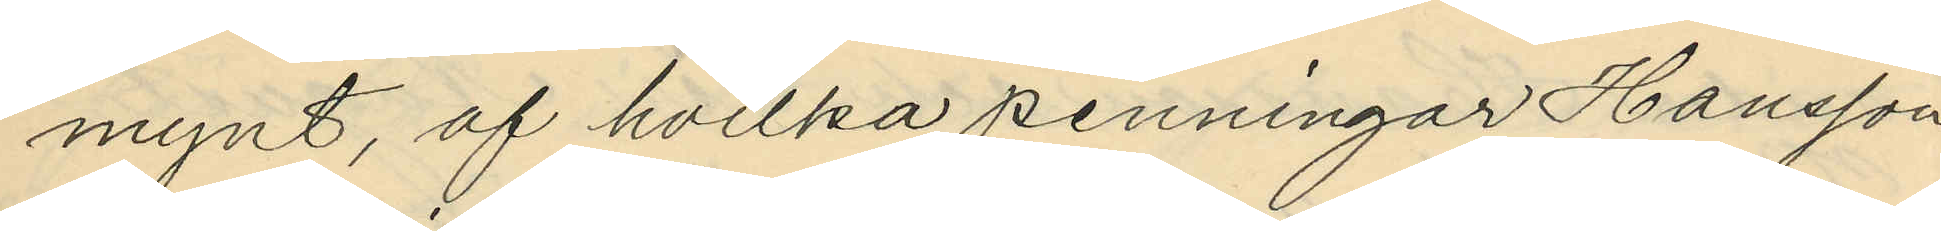mynt, af hvilka penningar Hansson
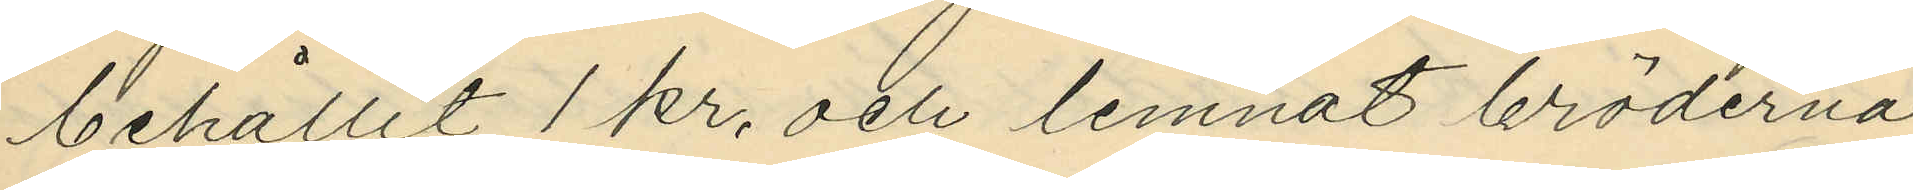behållit 1 kr, och lemnat bröderna
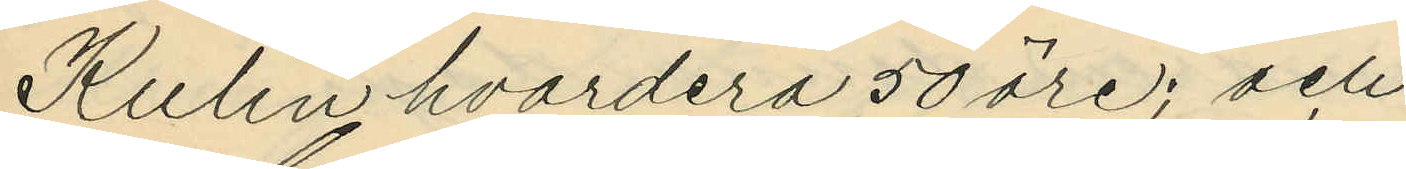Kulin hvardera 50 öre; och
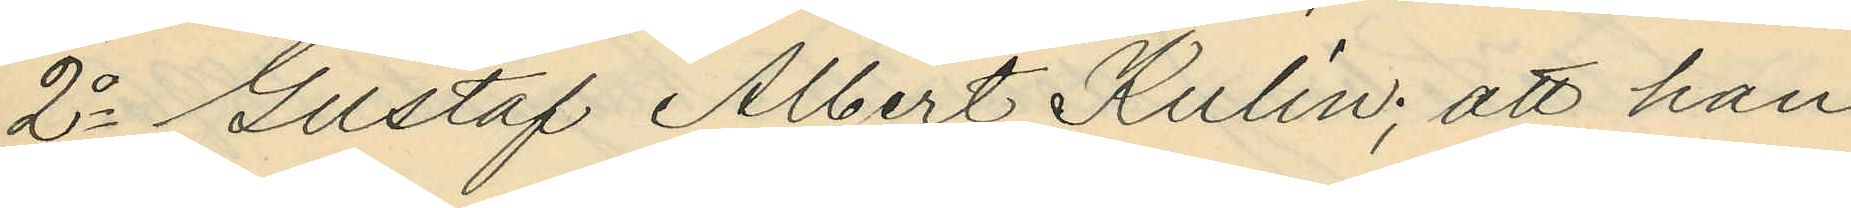2o Gustaf Albert Kulin; att han
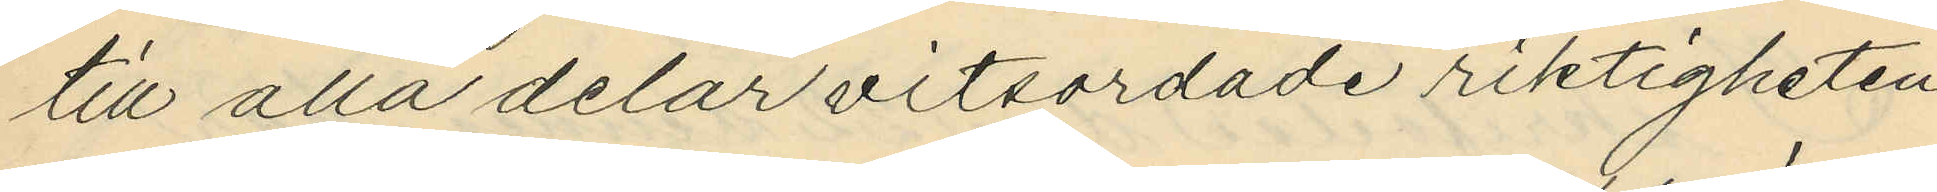till alla delar vitsordade riktigheten
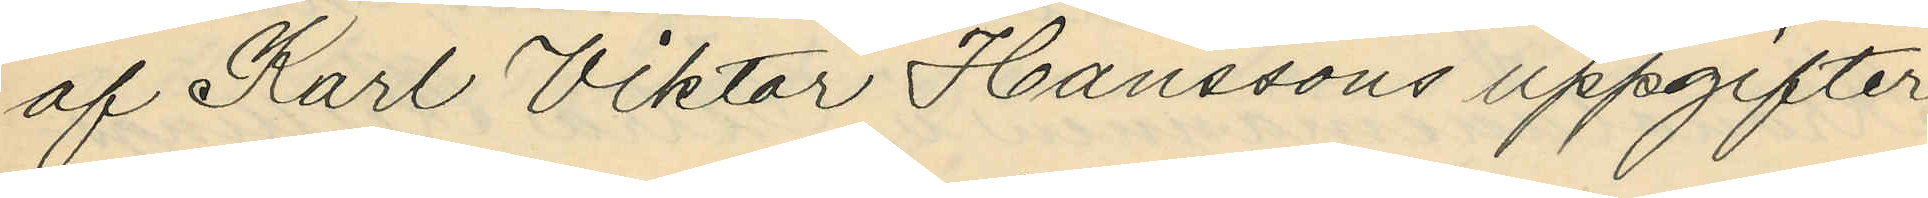af Karl Viktor Hanssons uppgifter
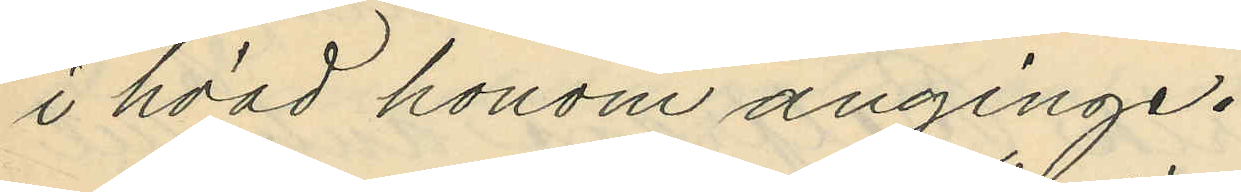i hvad honom anginge.
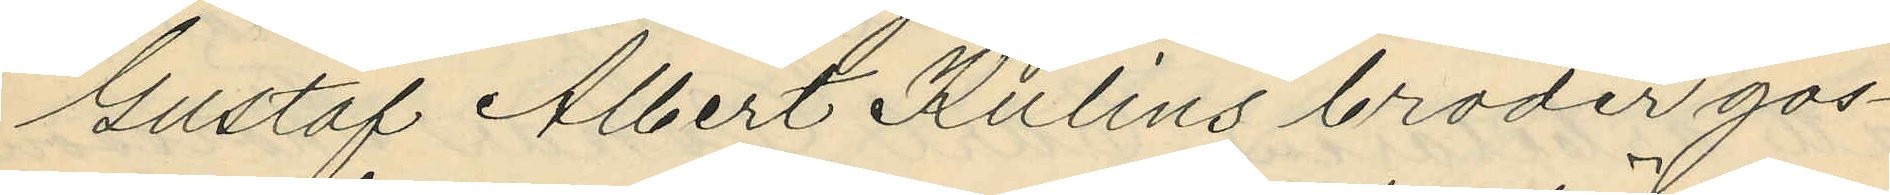Gustaf Albert Kulins broder gos¬
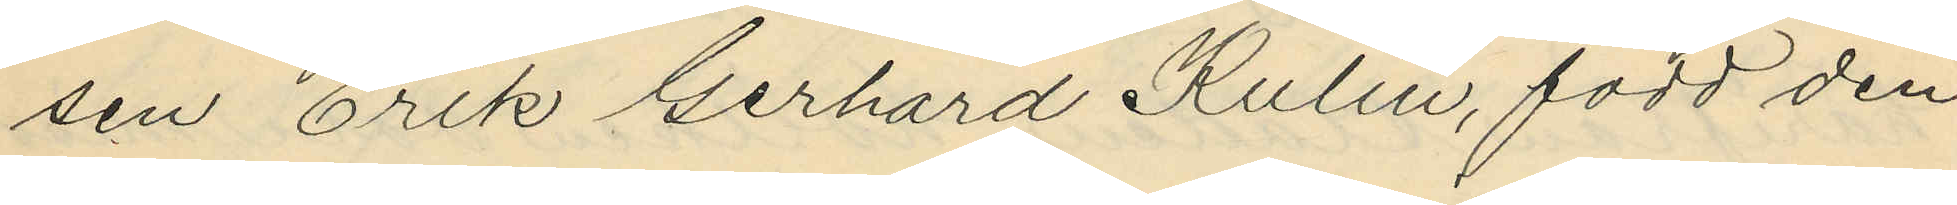sen Erik Gerhard Kulin, född den
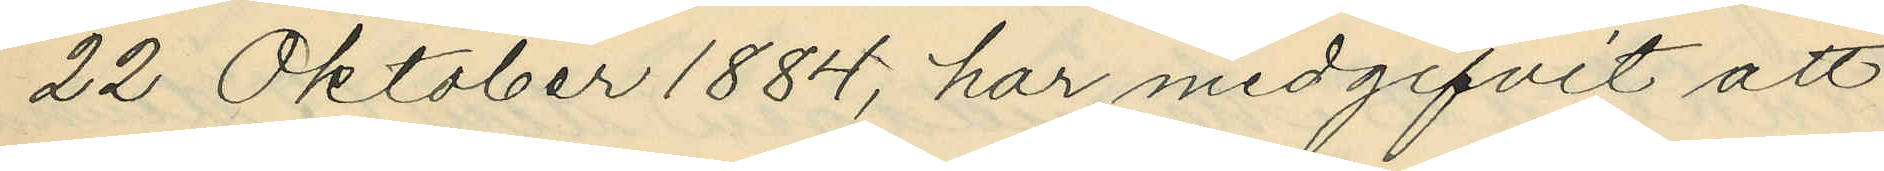22 Oktober 1884, har medgifvit att
